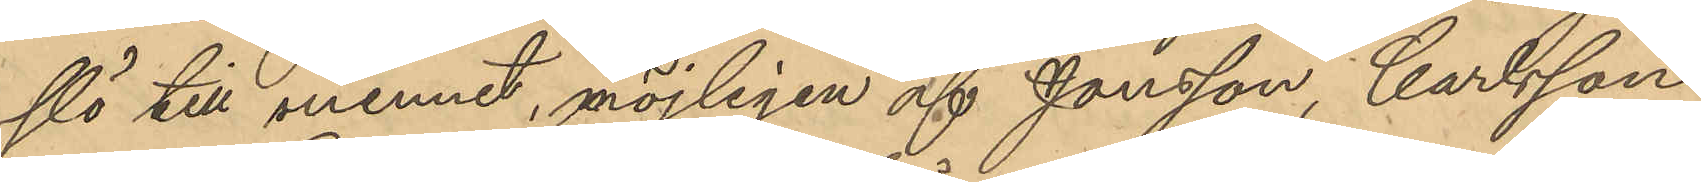slö till minnet, möjligen af Jonsson, Carlsson
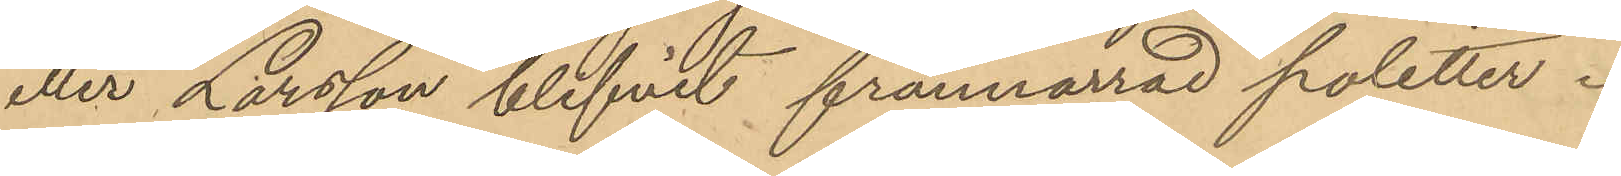eller Larsson blifvit frånnarrad poletter.
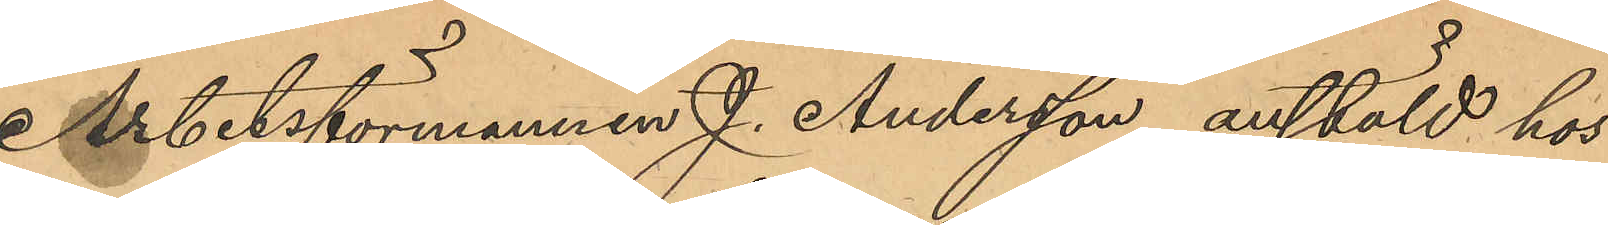Arbetsförmannen J. Andersson anstäld hos
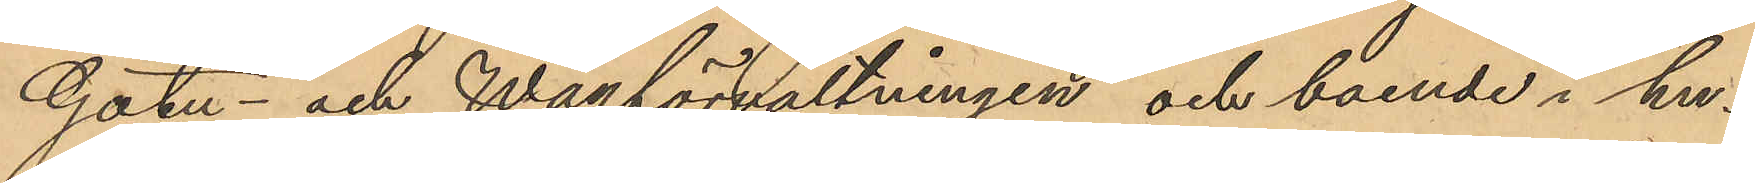Gatu- och Wägförvaltningen och boende i hu¬
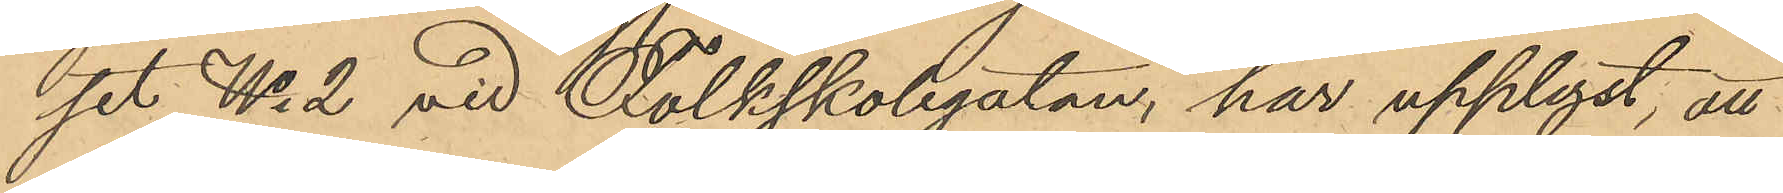set No 2 vid Folkskolegatan, har upplyst, att
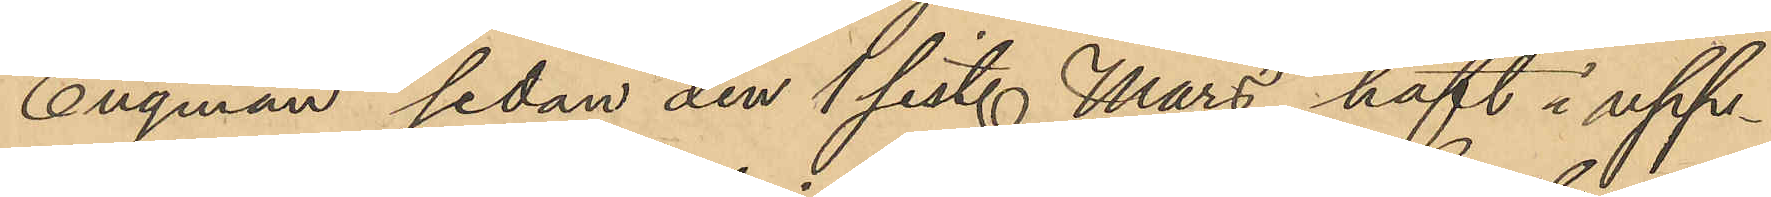Engman sedan den 1 sist. Mars haft i upp¬
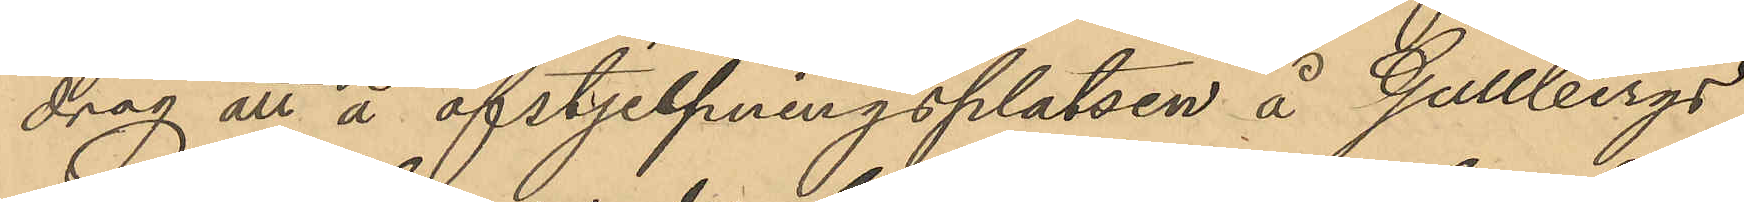drag att å afstjelpningsplatsen å Gullbergs
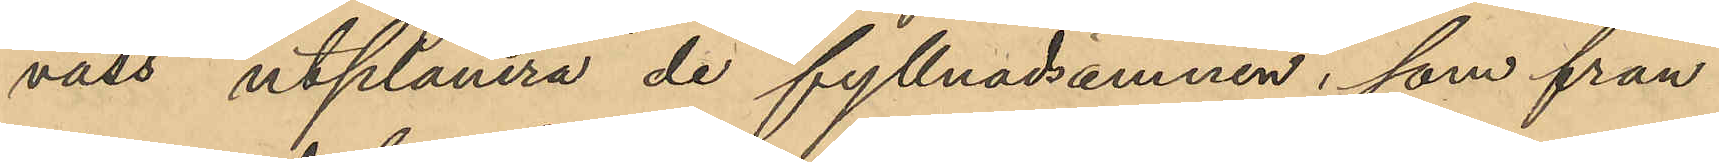vass utplanera de fyllnadsämnen, som från
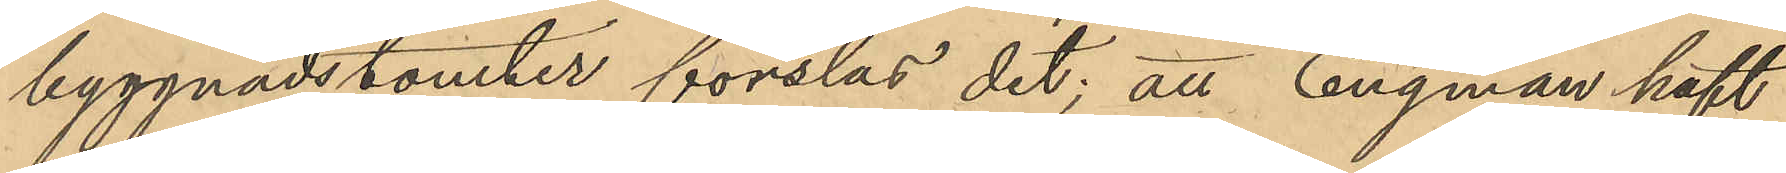byggnadstomter forslas dit; att Engman haft
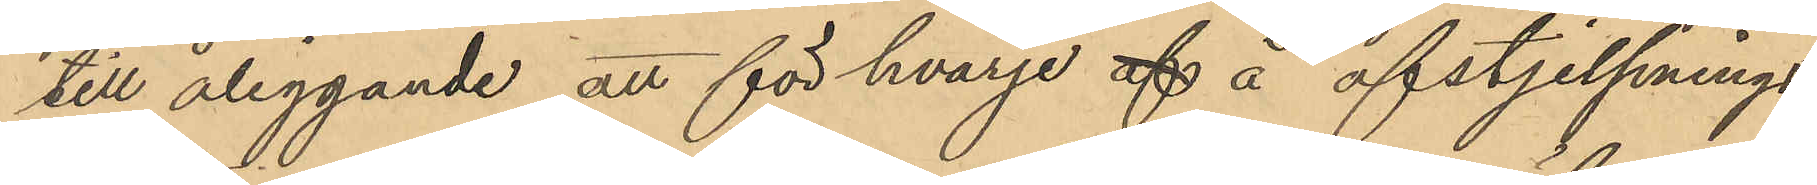till åliggande att för hvarje af å afstjelpnings¬
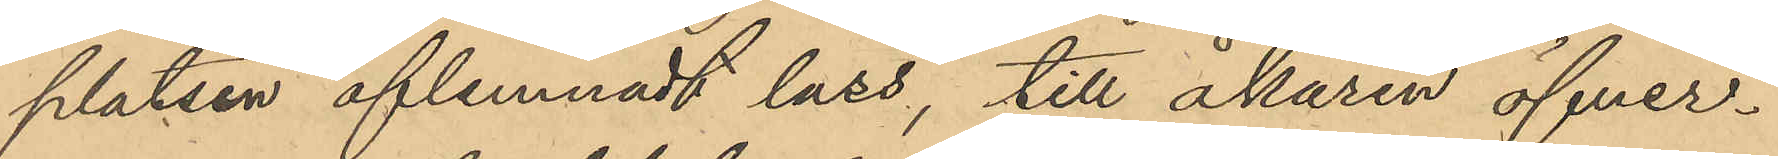platsen aflemnadt lass, till åkaren öfver¬
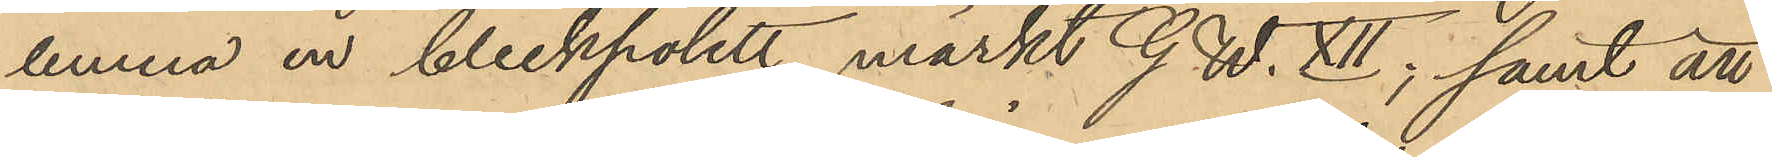lemna en bleckpolett märkt G. W. XII; samt att
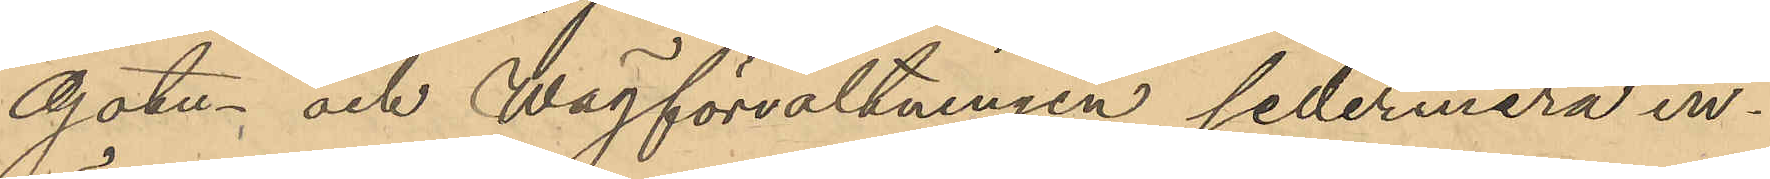Gatu- och Wägförvaltningen sedermera in¬
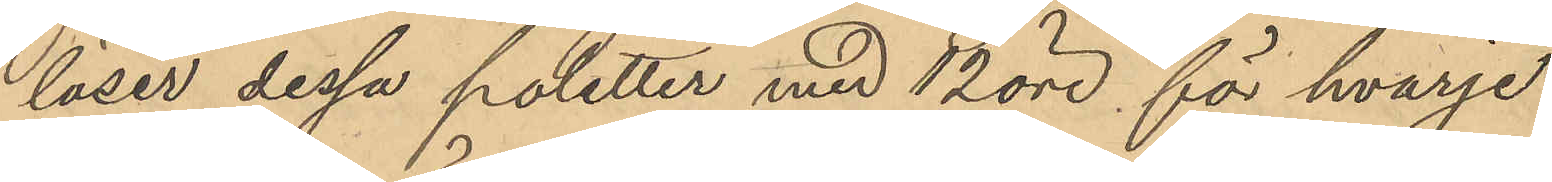löser dessa poletter med 12 öre för hvarje.
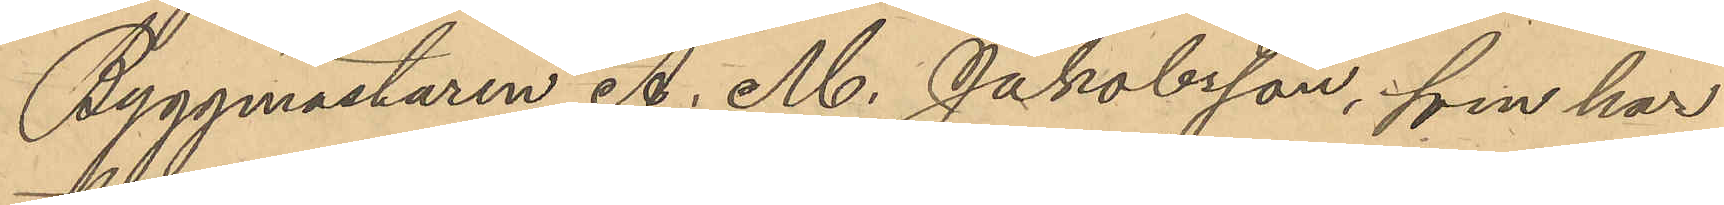Byggmästaren A. M. Jakobsson, som har
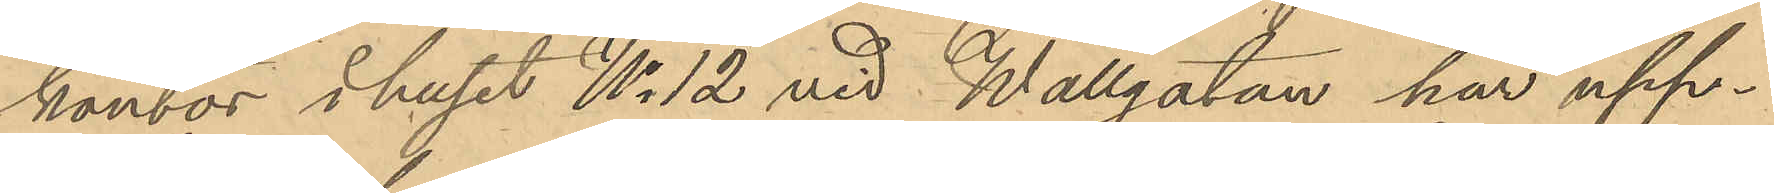kontor i huset No 12 vid Wallgatan har upp¬
